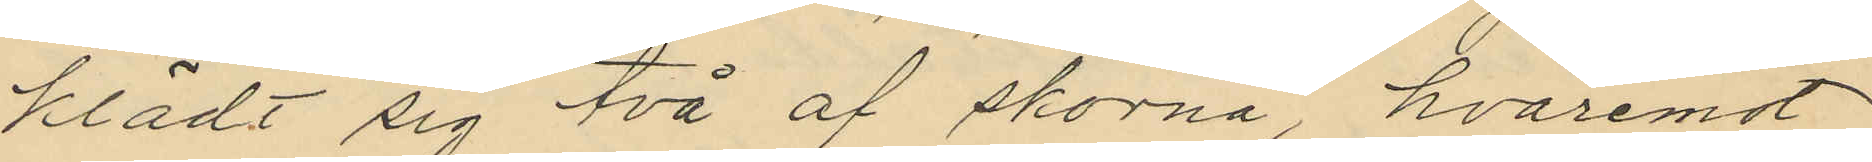klädt sig två af skorna, hvaremot
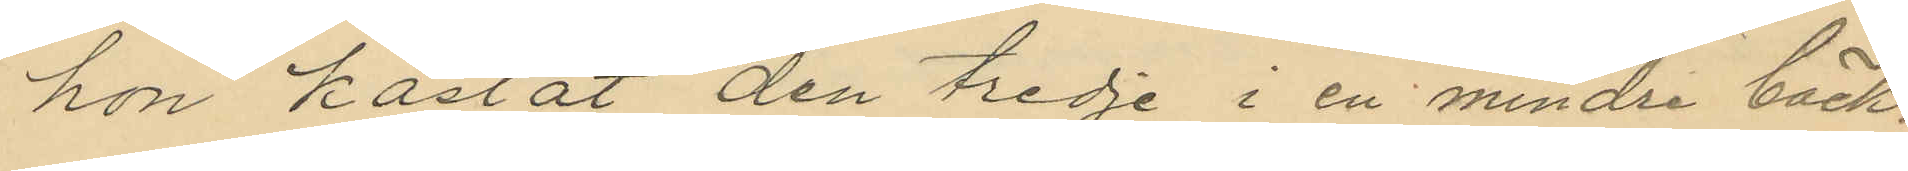hon kastat den tredje i en mindre bäck.
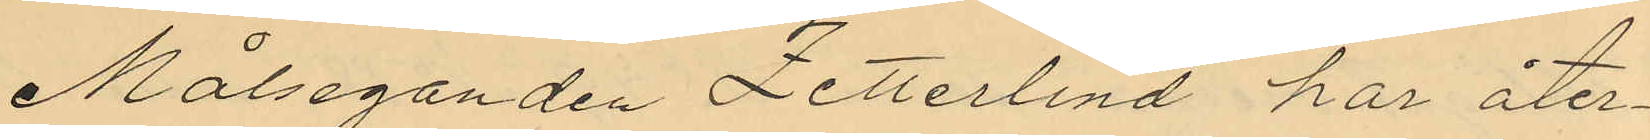Målseganden Zetterlind har åter¬
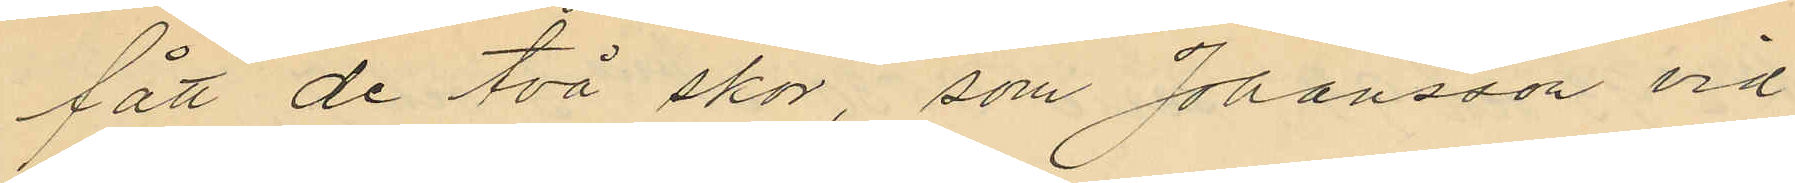fått de två skor, som Johansson vid
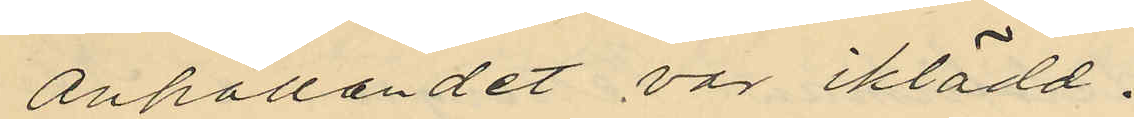anhållandet var iklädd.
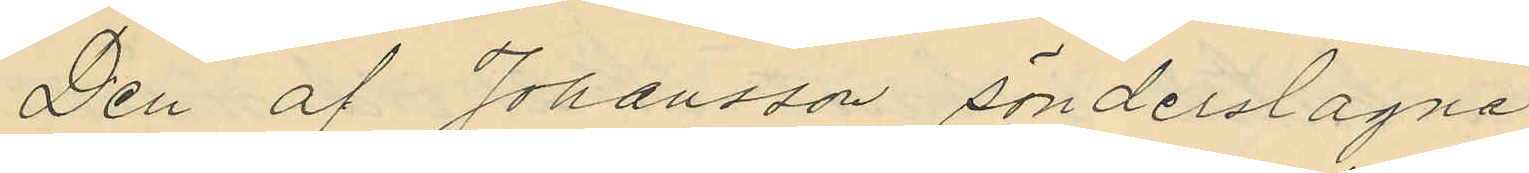Den af Johansson sönderslagna
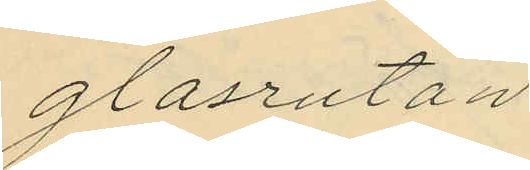glasrutan
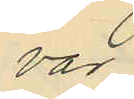var
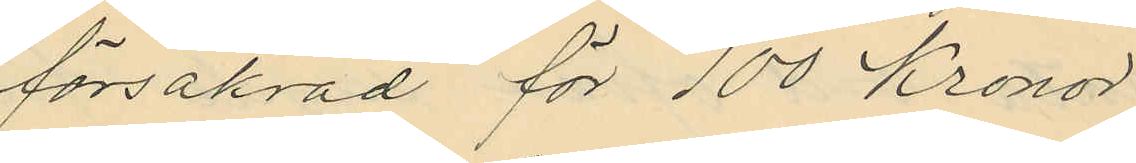försäkrad för 100 Kronor
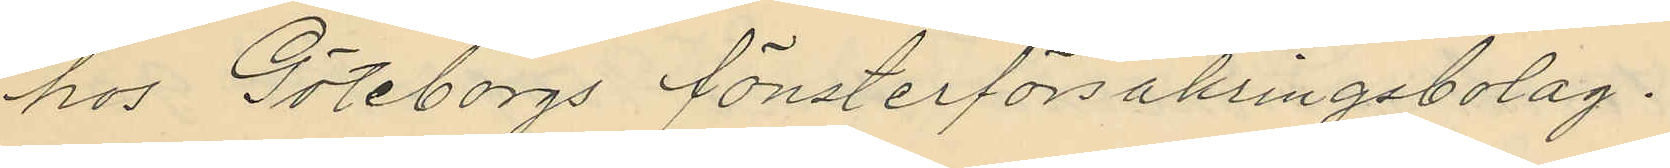hos Göteborgs fönsterförsäkringsbolag.
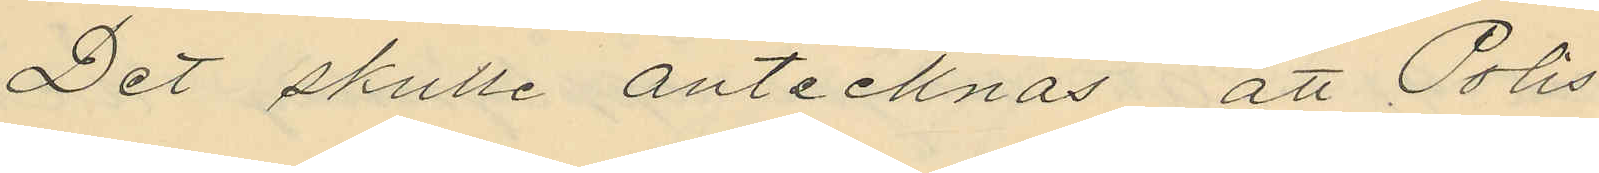Det skulle antecknas, att Polis
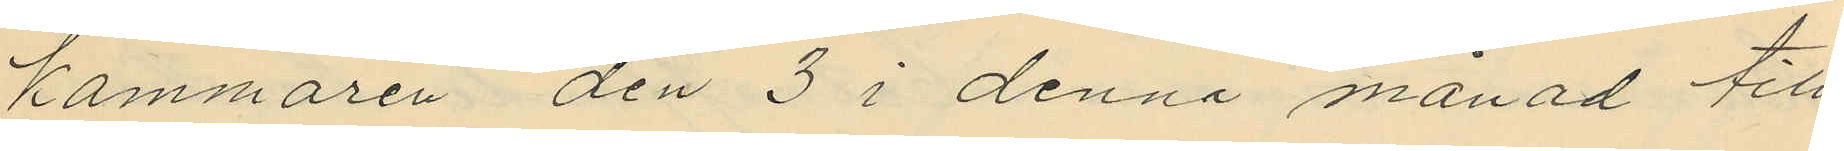kammaren den 3 i denna månad till
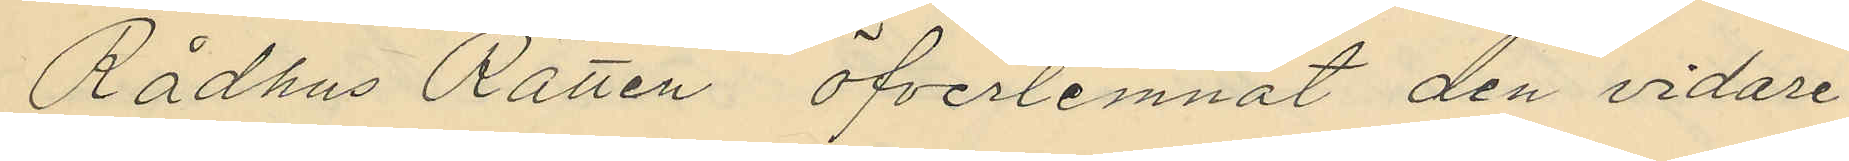Rådhus Rätten öfverlemnat den vidare
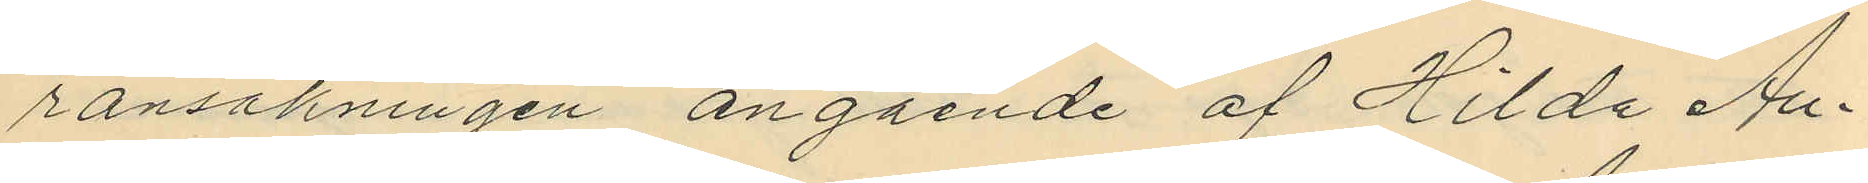ransakningen angående af Hilda Au¬
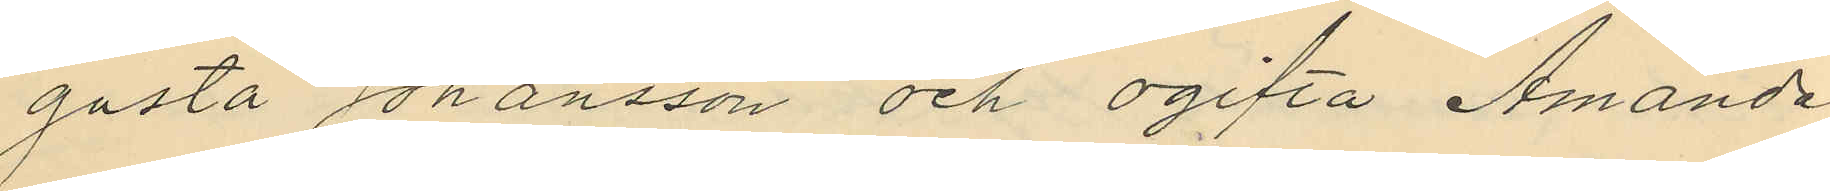gusta Johansson och ogifta Amanda
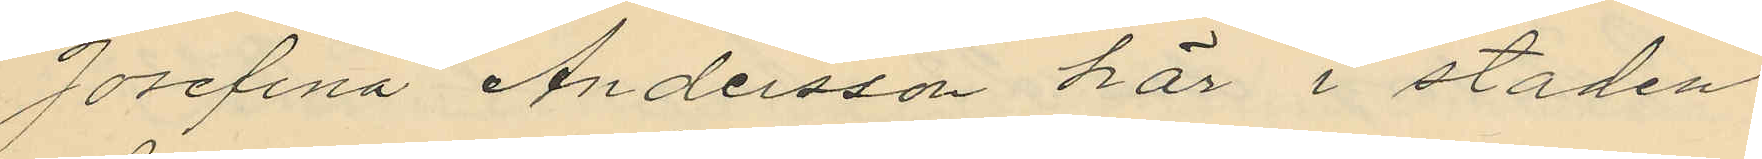Josefina Andersson här i staden
